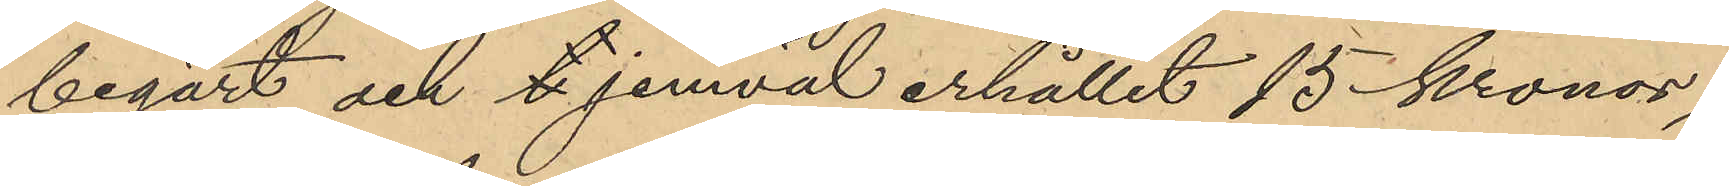begärt och t jemväl erhållit 15 kronor;
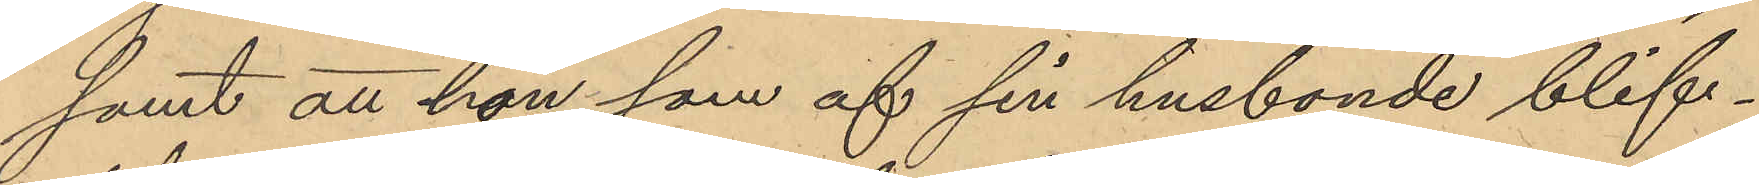samt att hon som af sin husbonde blif¬
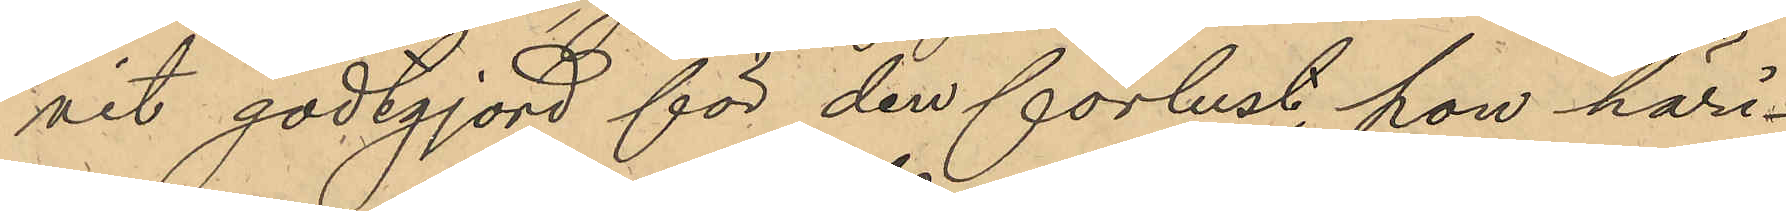vit godtgjord för den förlust hon häri¬
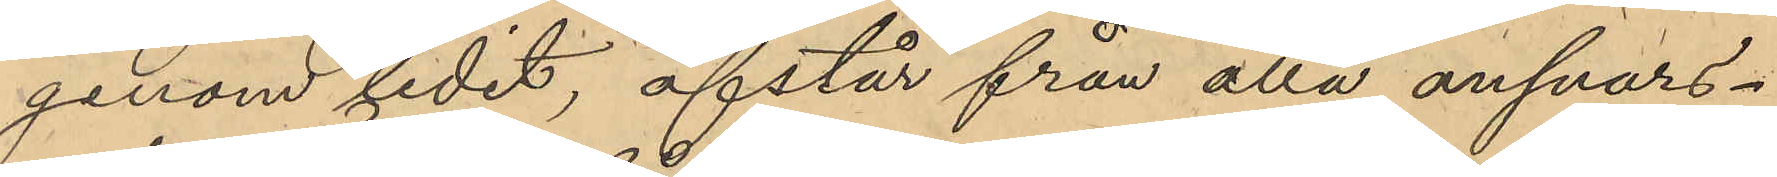genom lidit, afstår från alla ansvars¬ 
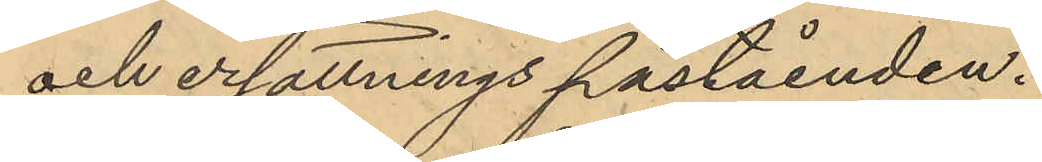och ersättningspåståenden.
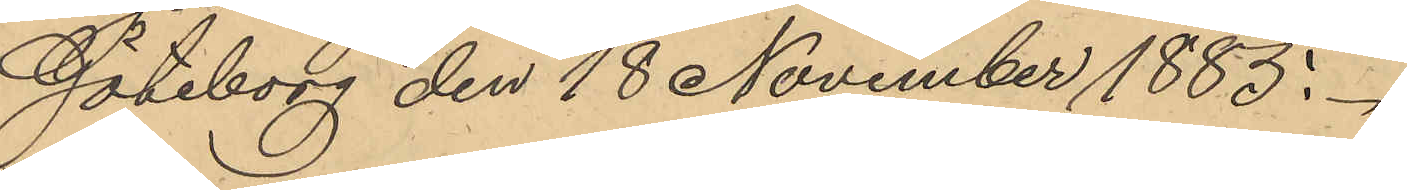Göteborg den 18 November 1885.
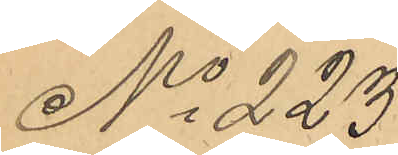No 223
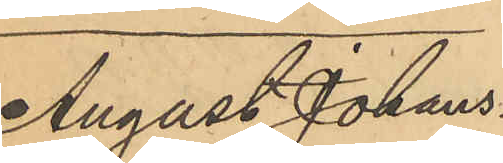August Johans¬
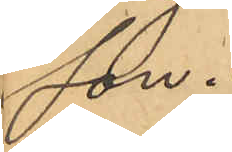son.
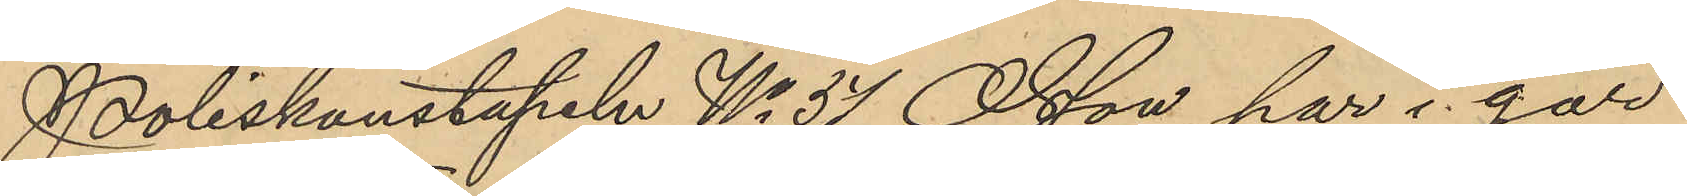Poliskonstapeln No 37 Olsson har i går
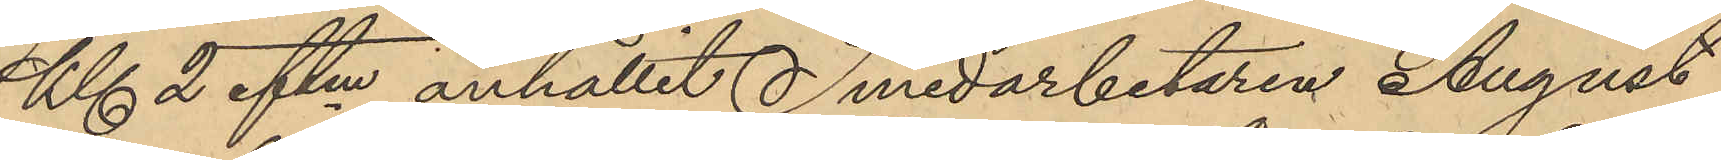Kl 2 eftm anhållit Smedarbetaren August
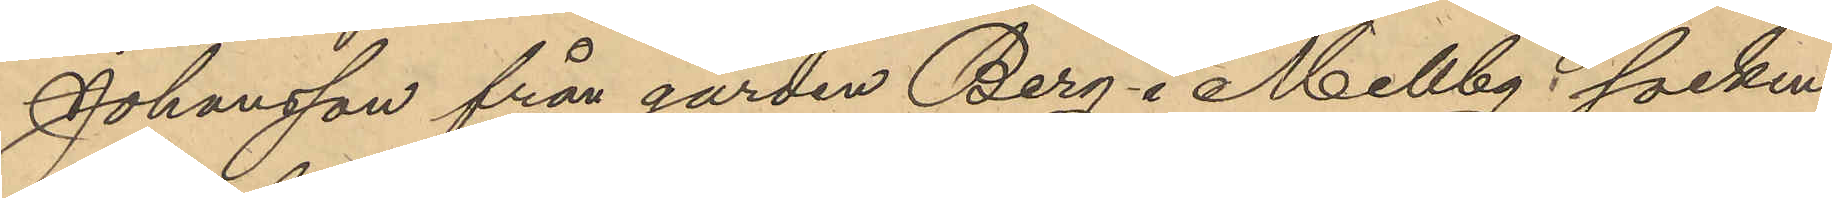Johansson från gården Berg i Mellby socken, 
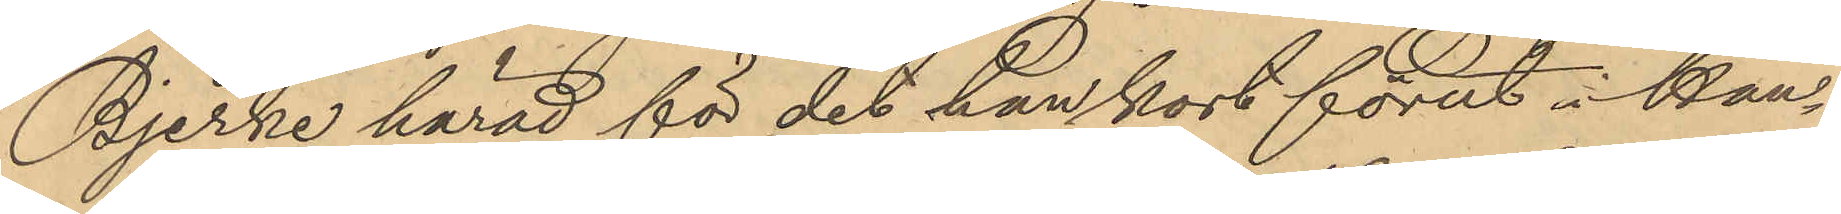Bjerke härad för det han kort förut i han¬
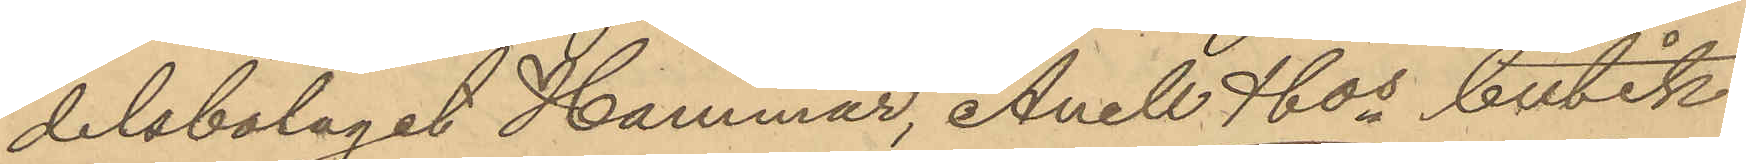delsbolaget Hammar, Anell & Cos butik
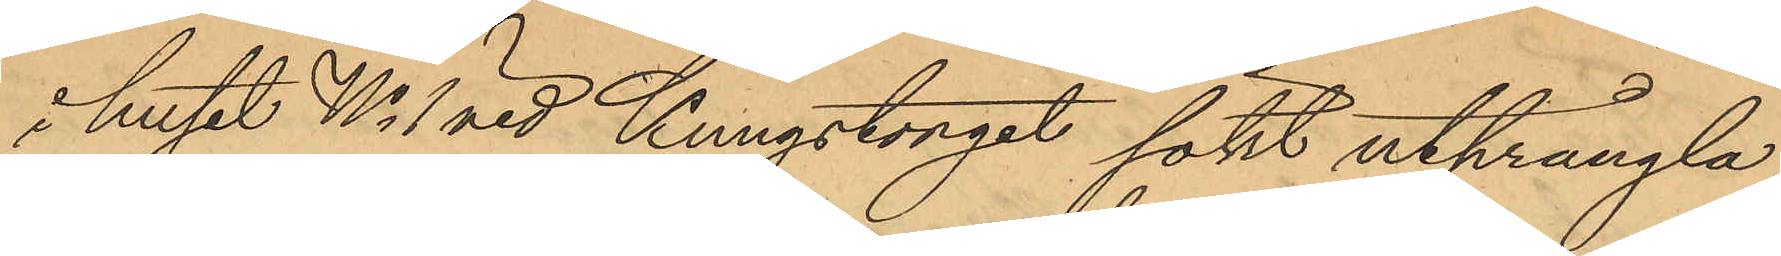i huset No 1 vid Kungstorget sökt utprängla
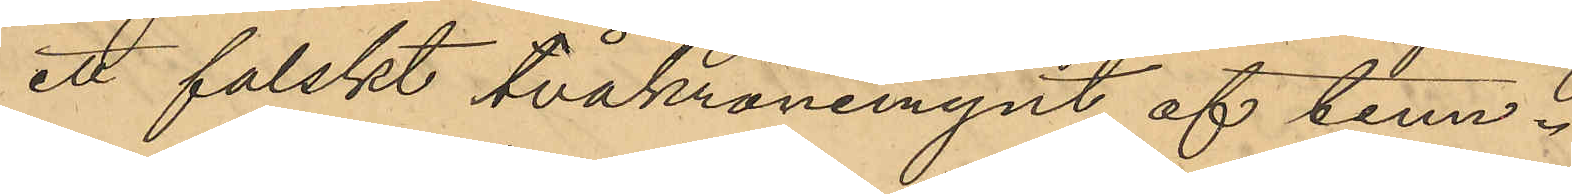ett falskt tvåkronemynt af tenn.
